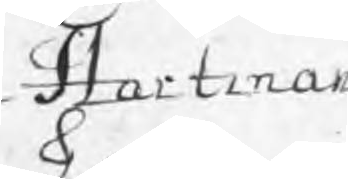Hartman
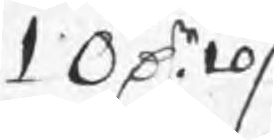10 Dr 10 /:
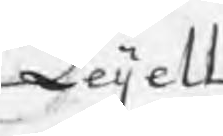Leijell
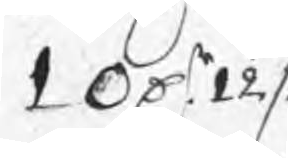10 Dr 12 /:
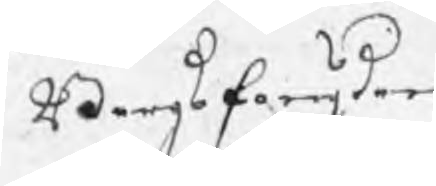Bergsfougden
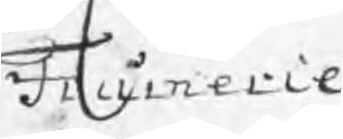Frumerie
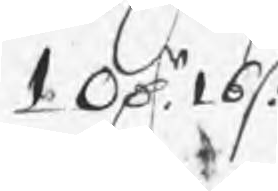10 Dr 16 /:
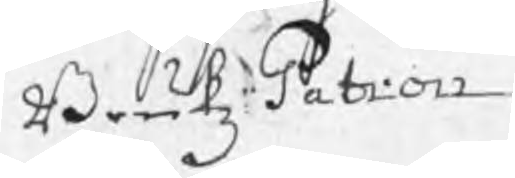BrukzPatron
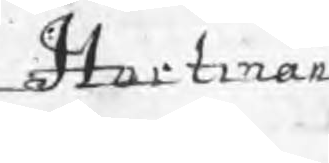Hartman
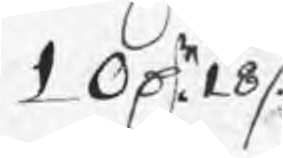10 Dr 18 /:
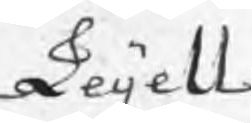Leijell
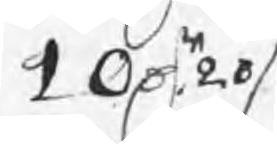10 Dr 20 /:
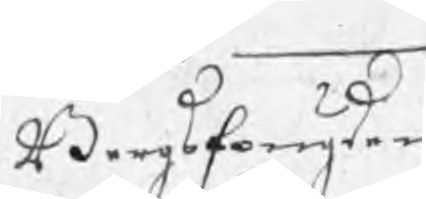Bergsfougden
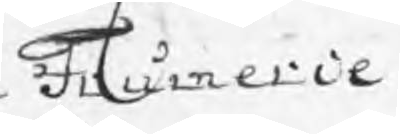Frumerie
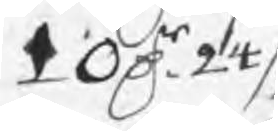10 Dr 24 /:
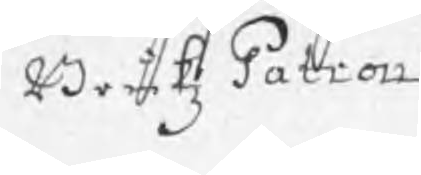BrukzPatron
